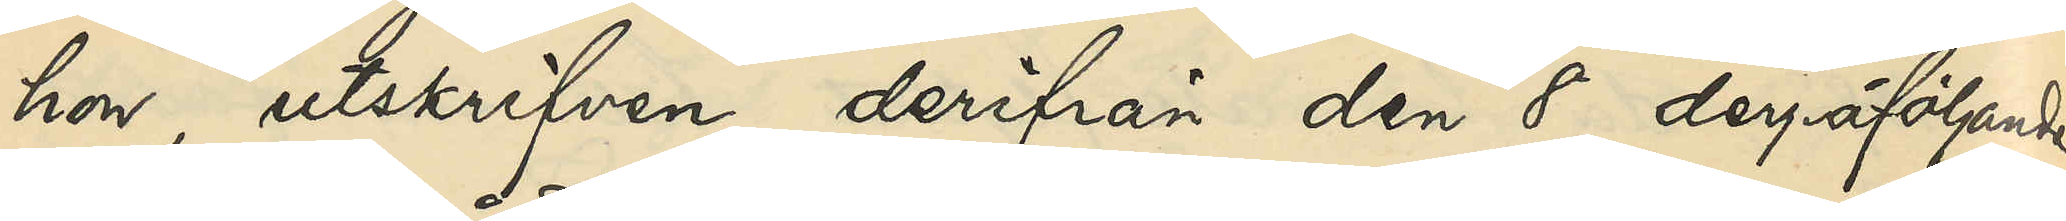hon, utskrifven derifrån den 8 derpåföljande
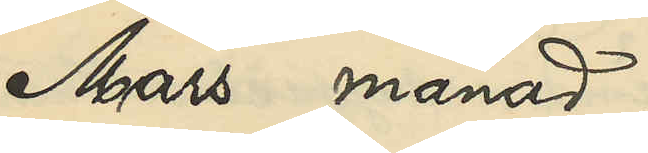Mars månad,
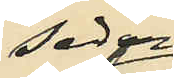sedan
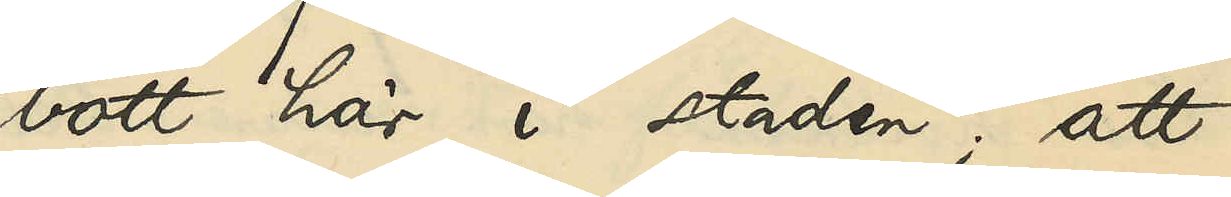bott här i staden; att
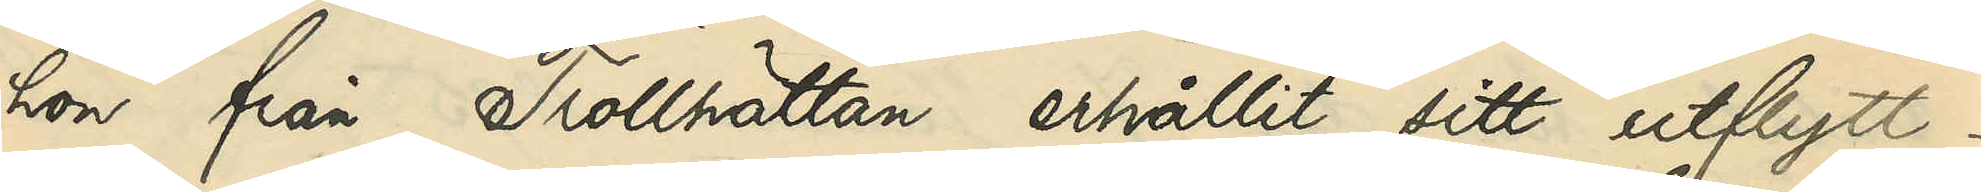hon från Trollhättan erhållit sitt utflytt¬
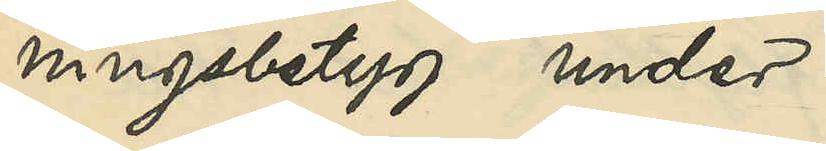ningsbetyg under
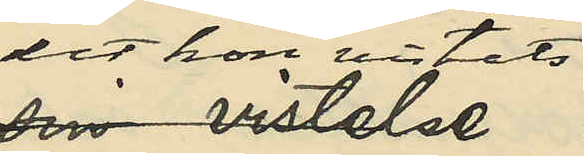det hon vistats
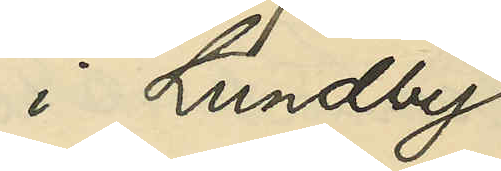i Lundby
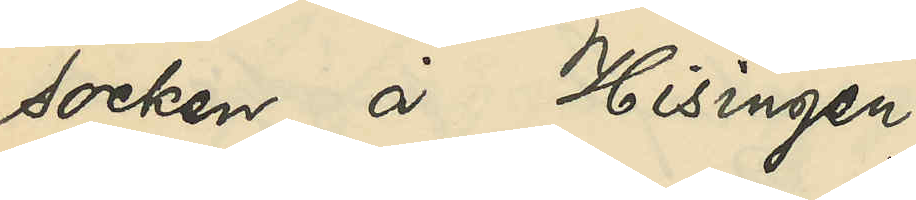socken å Hisingen
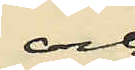och
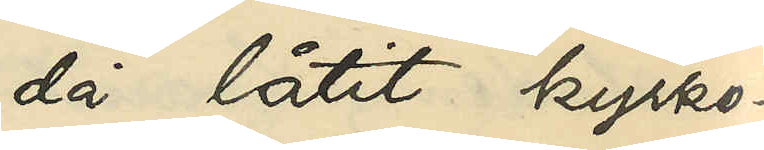då låtit kyrko¬
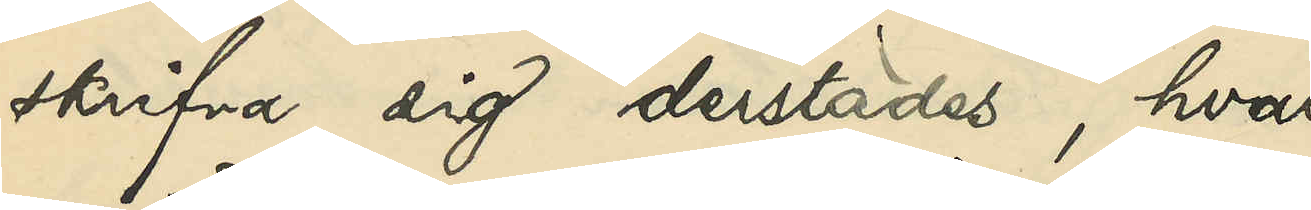skrifva sig derstädes hvar¬
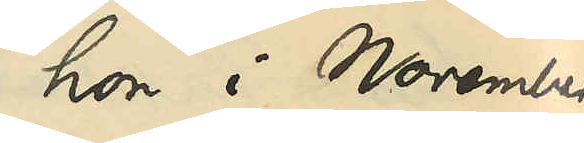hon i November
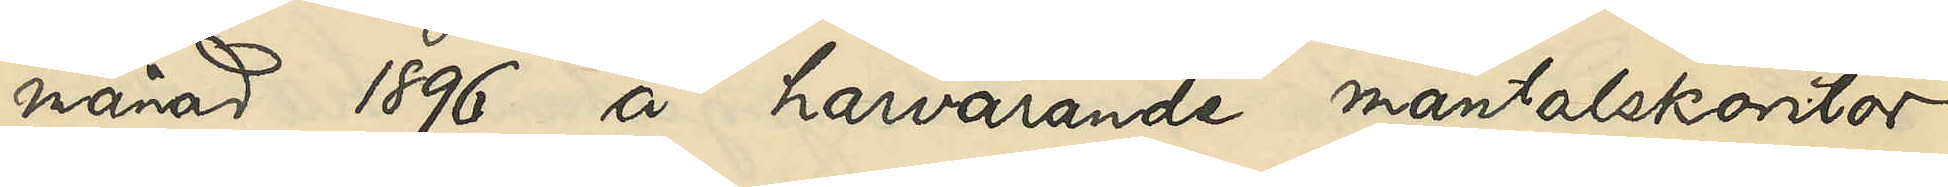månad 1896 å härvarande mantalskontor
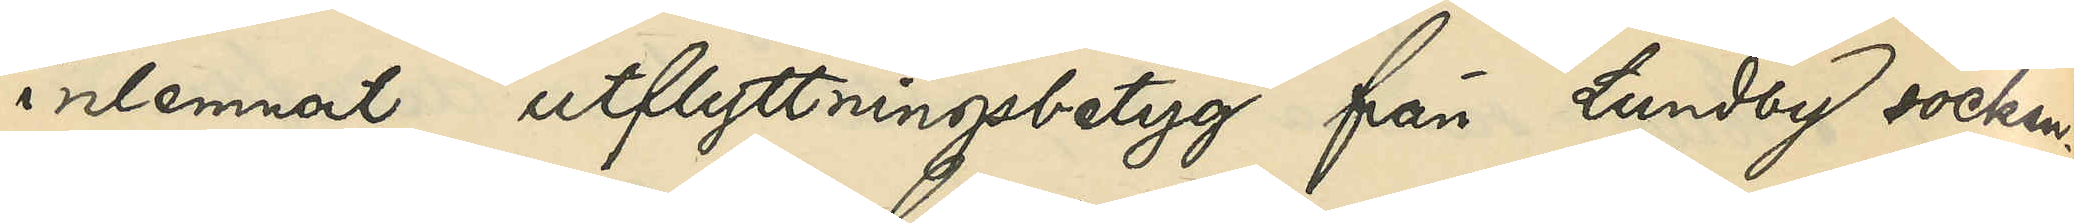inlemnat utflyttningsbetyg från Lundby socken;
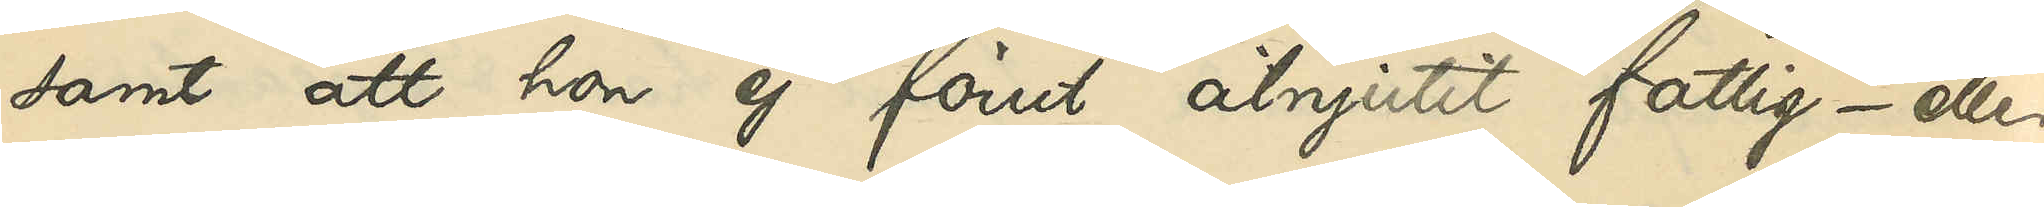samt att hon ej förut åtnjutit fattig- eller
